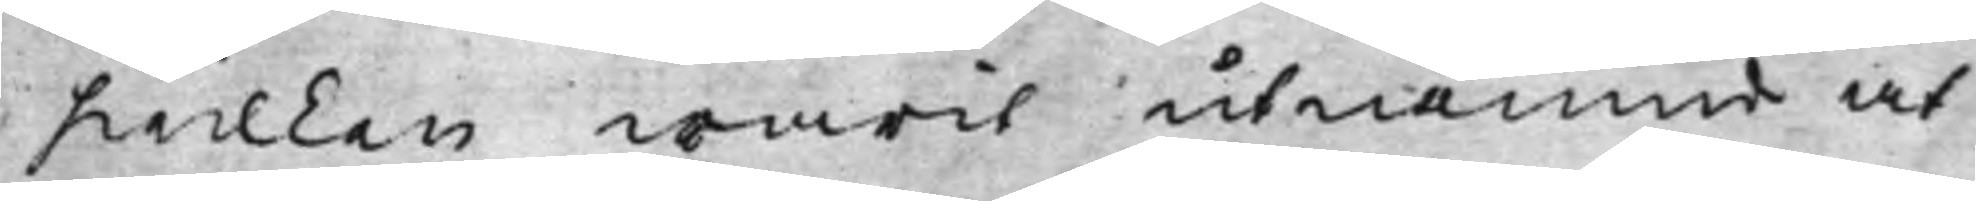hwilken warit utnämnd at
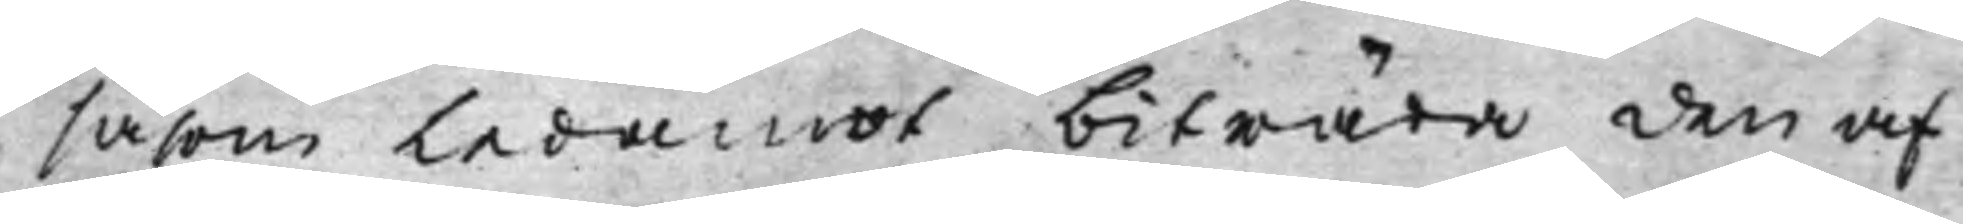såsom Ledamot biträda den af
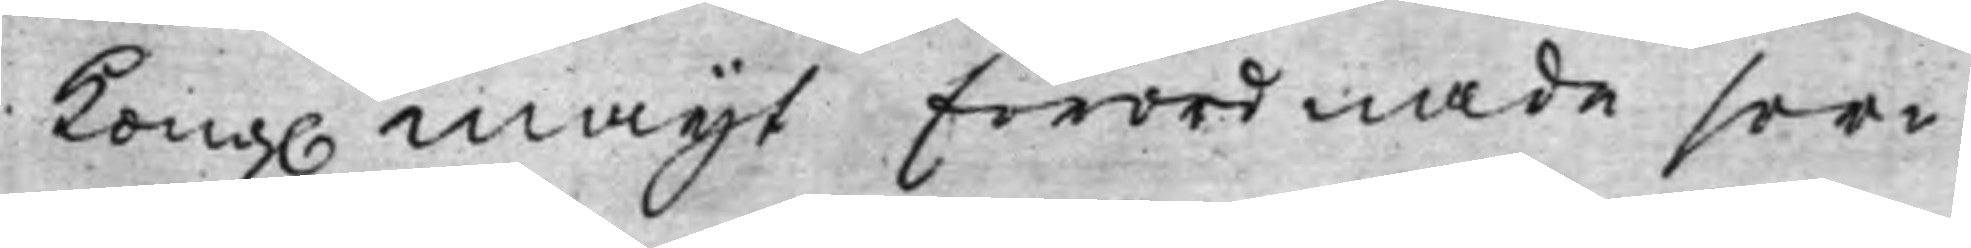Kong. Maijt Förordnade ser¬ 
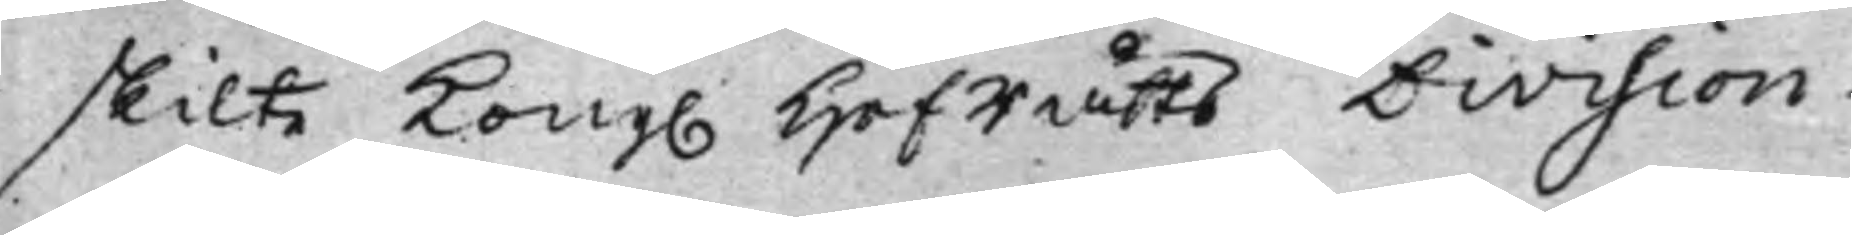skilte Kong. HofRätts Division 
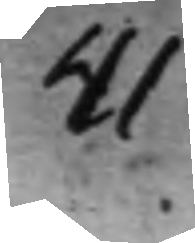41
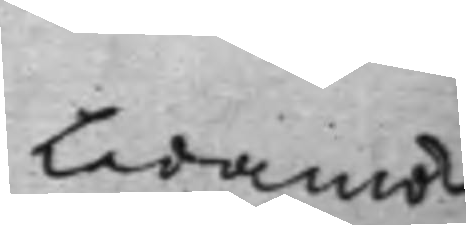Ledamö¬ 
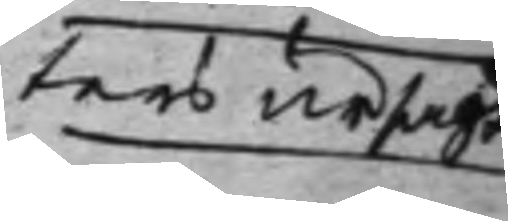ters ursägt
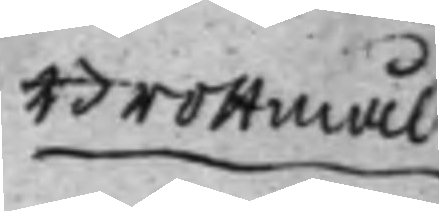Brottmål 
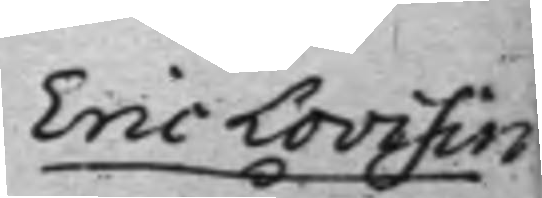Eric Lovisin 
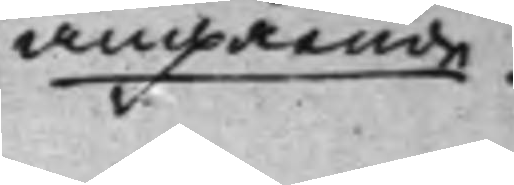angående. 
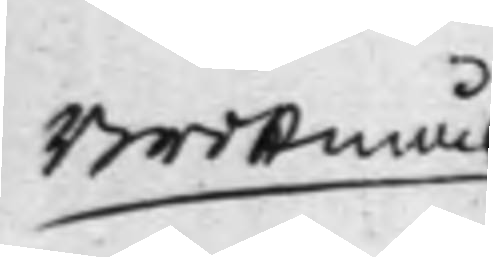Brottmål
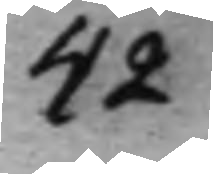42
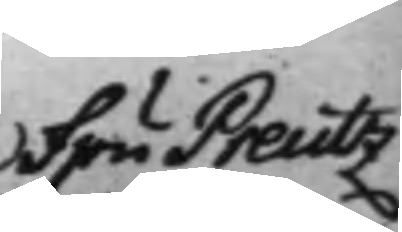Fru Preutz 
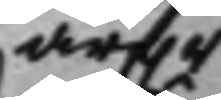arf.r
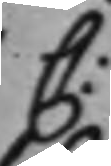C:
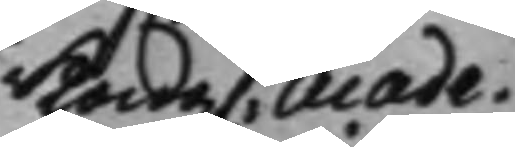Kong. Acade¬
